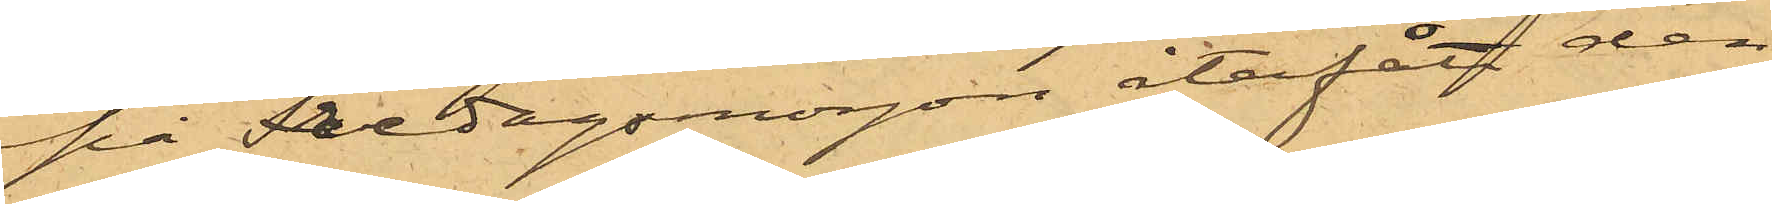på Fredagsmorgon återfått den
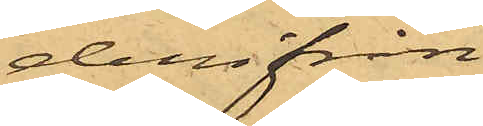derifrån.
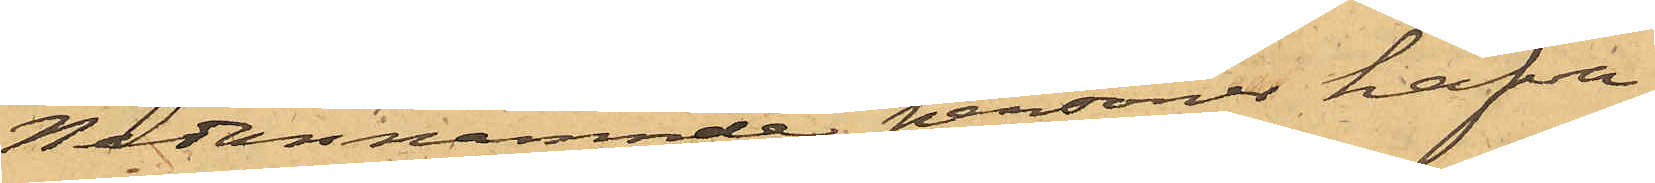Nedannämnde personer hafva
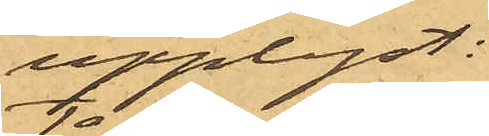upplyst:
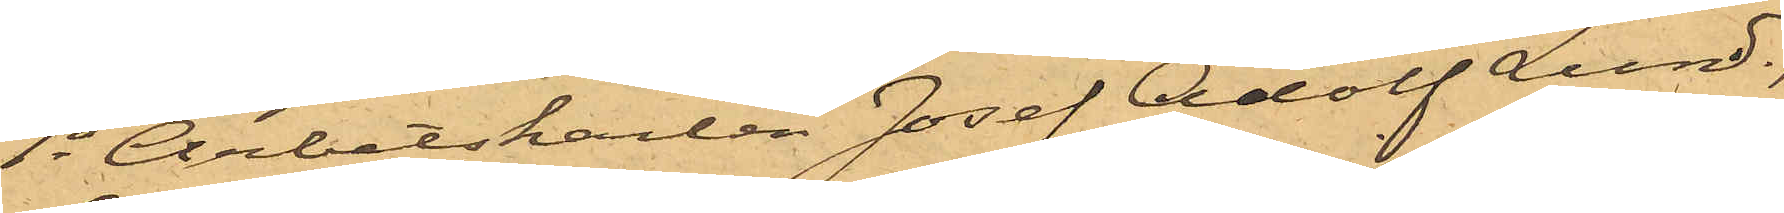1o Arbetskarlen Josef Adolf Lund,
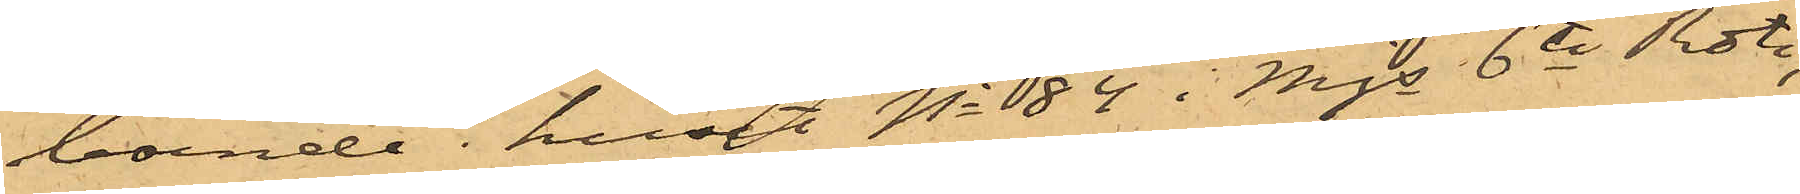boende i huset No 84 i Mjs 6te Rote,
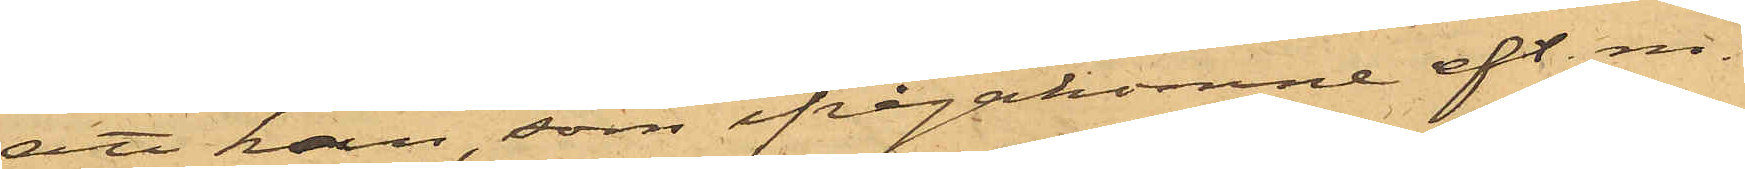att han, som ifrågakomne eft. m.
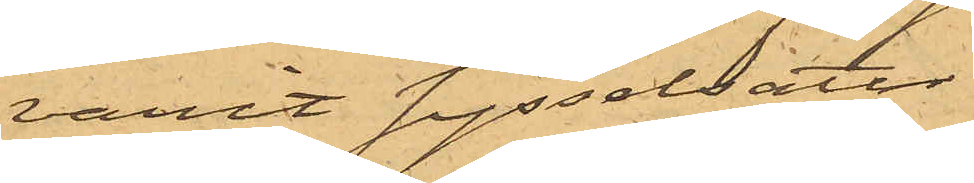varit sysselsatt
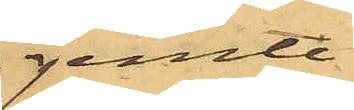jemte
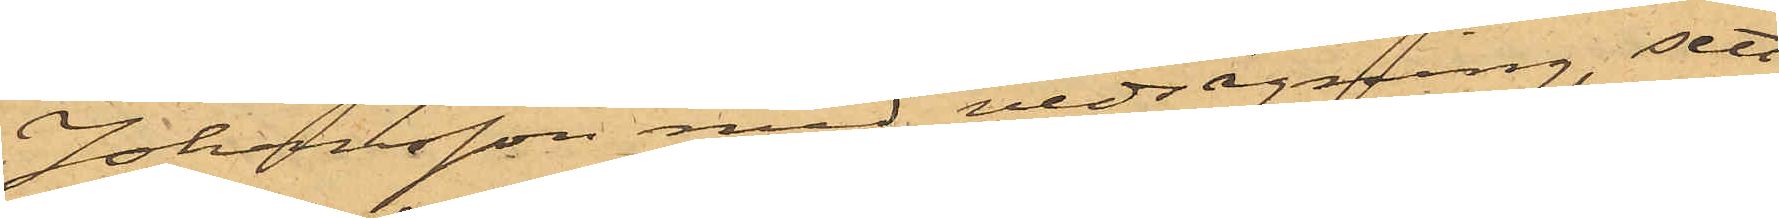Johansson med vedsågning, sett
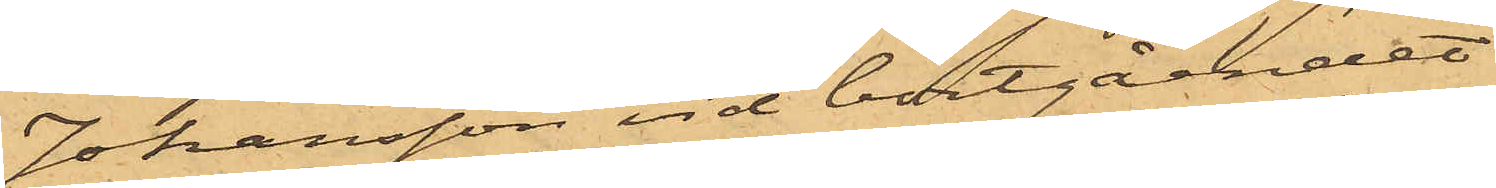Johansson vid bortgåendet
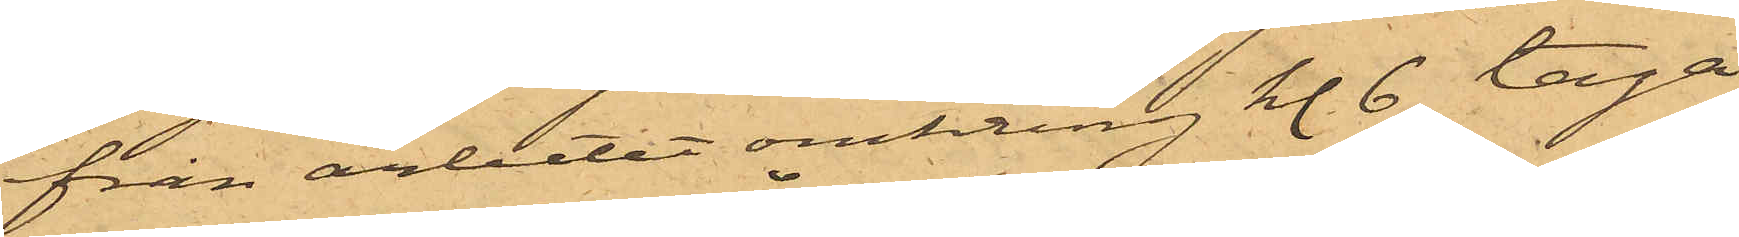från arbetet omkring kl. 6 taga
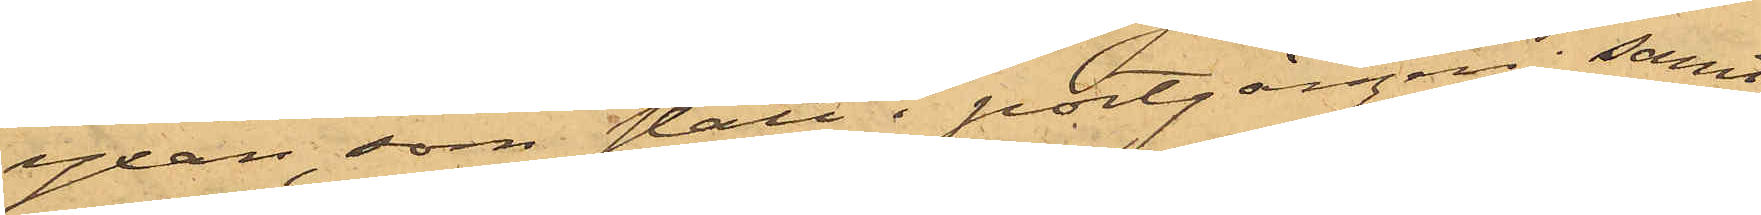yxan, som stått i portgången; samt
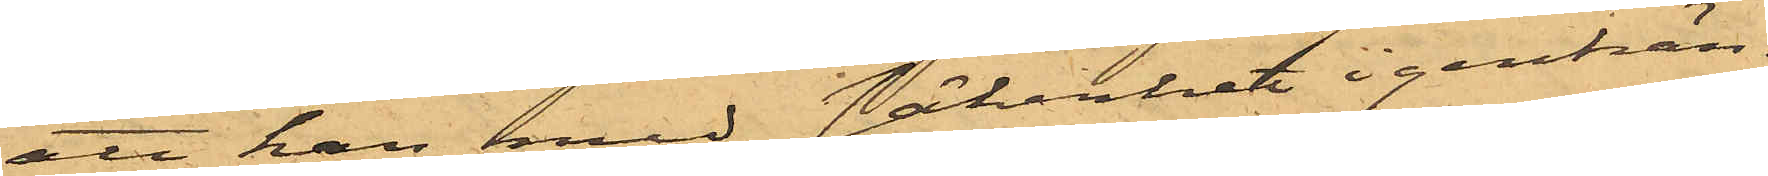att han med säkerhet igenkän¬
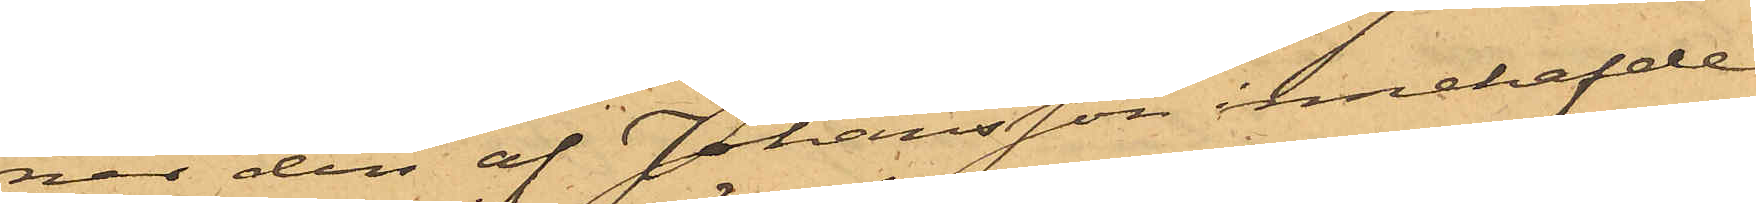ner den af Johansson innehafde
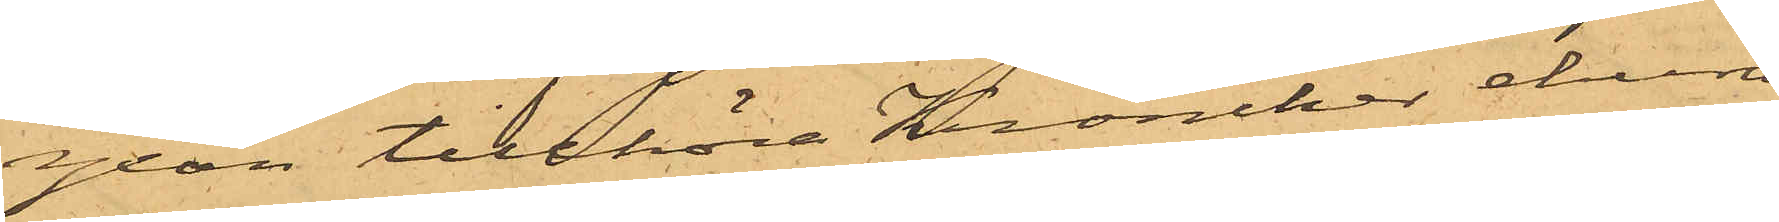yxan tillhöra Kroncker, ehuru
